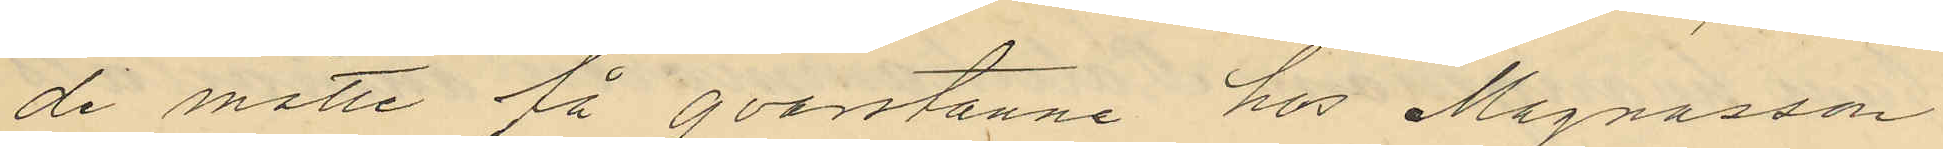de måtte få qvarstanne hos Magnusson
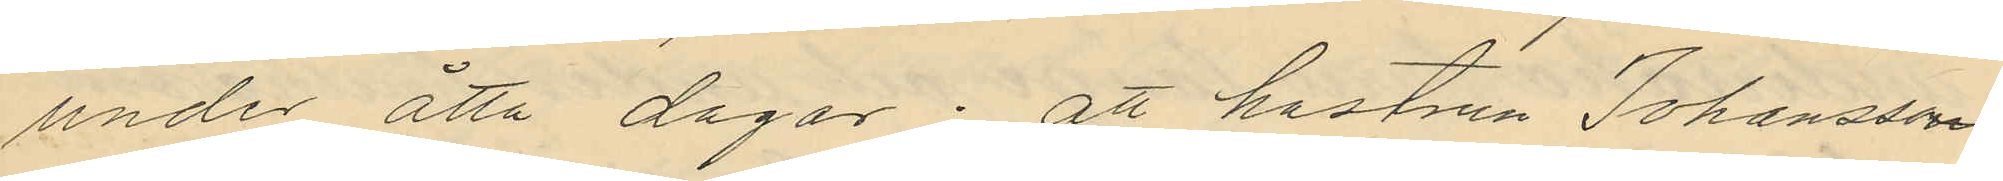under åtta dagar; att hustrun Johansson
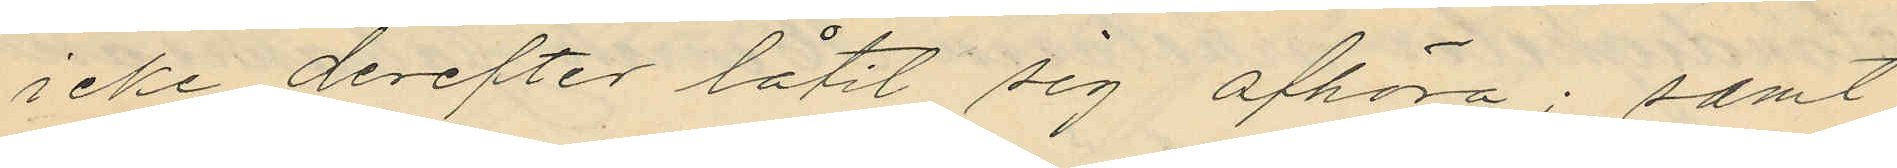icke derefter låtit sig afhöra; samt
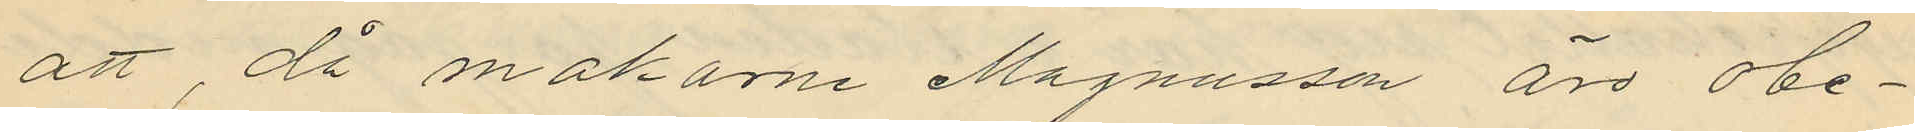att, då makarne Magnusson äro obe¬
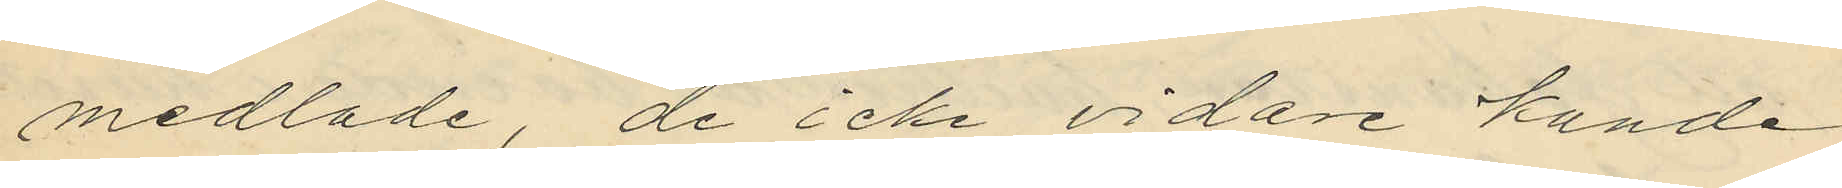medlade, de icke vidare kunde
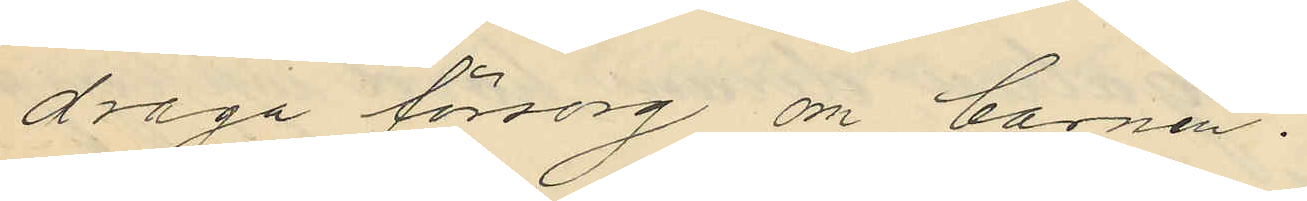draga försorg om barnen.
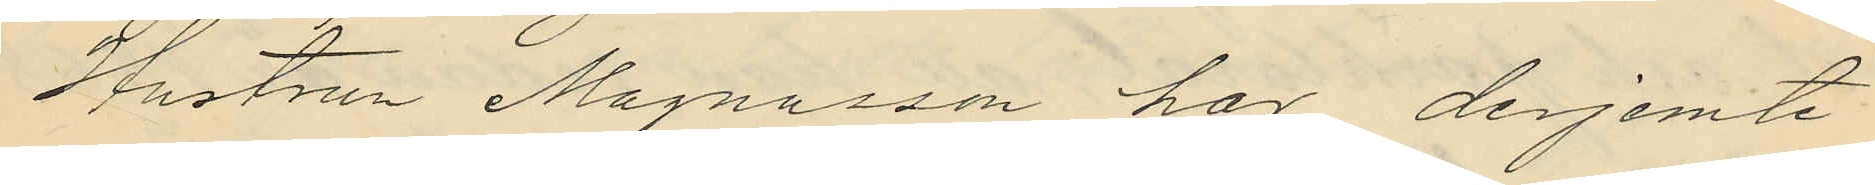Hustrun Magnusson har derjemte
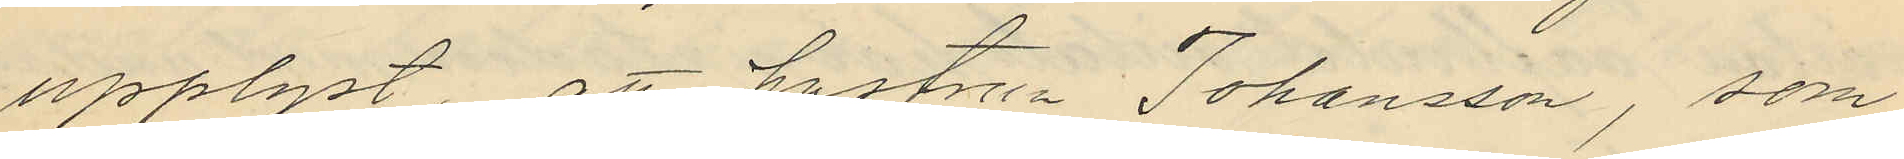upplyst, att hustrun Johansson, som
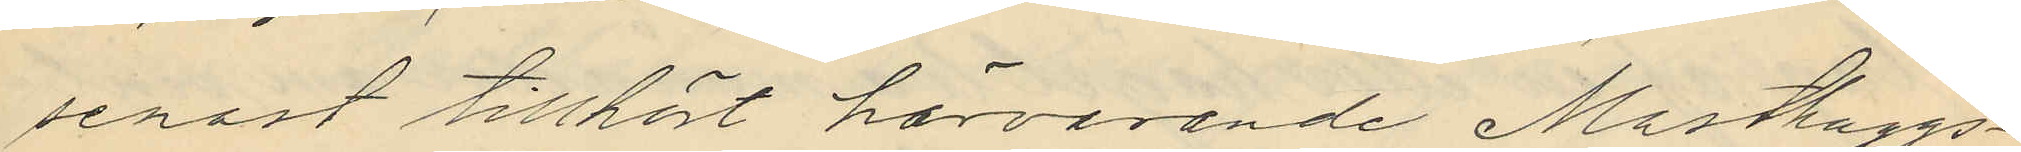senast tillhört härvarande Masthuggs¬
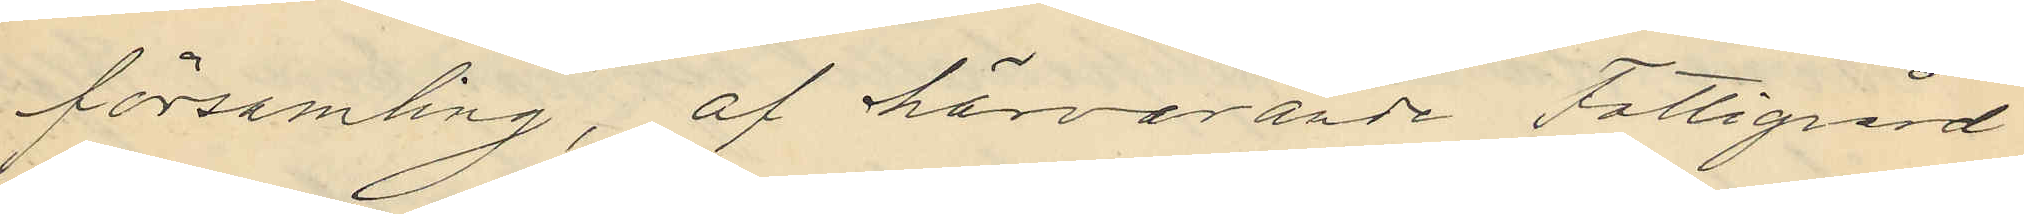församling, af härvarande Fattigvård
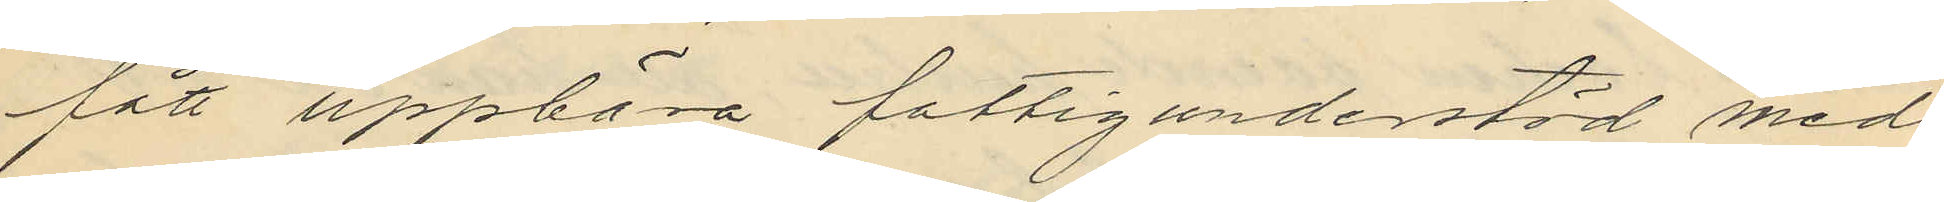fått uppbära fattigunderstöd med
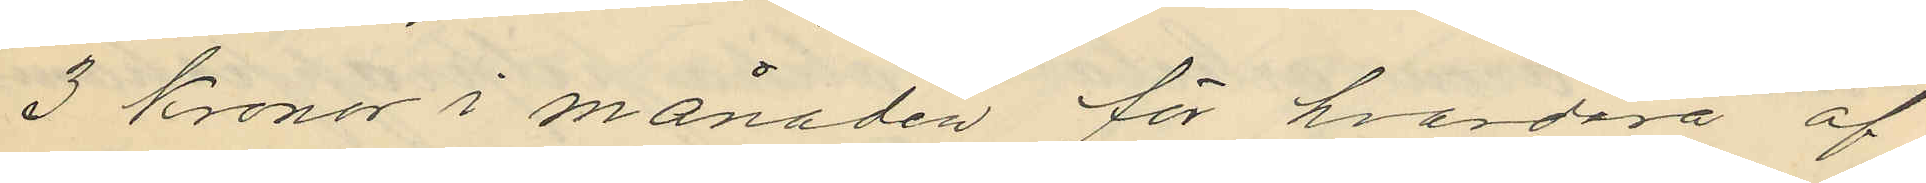3 Kronor i månaden för hvardara af
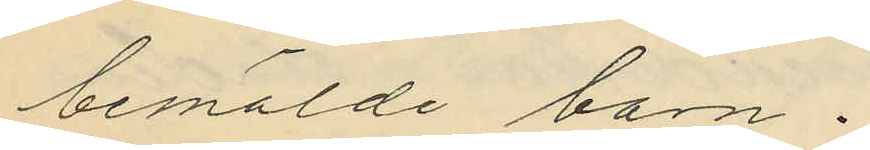bemälde barn.
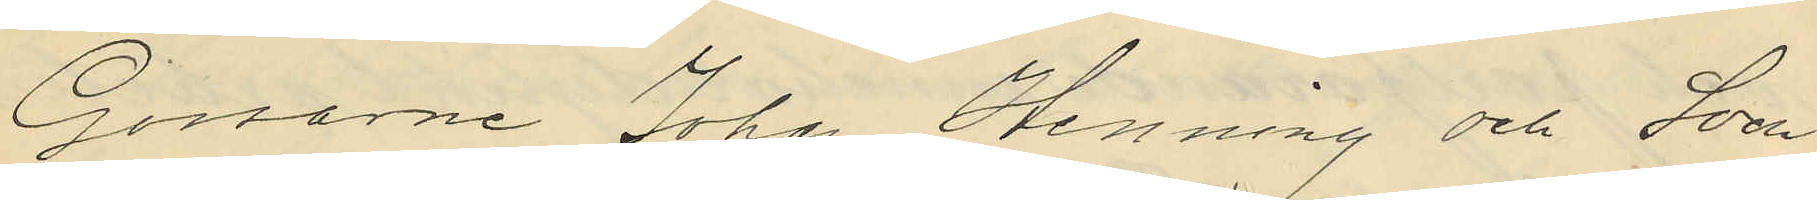Gossarne Johan Henning och Sven
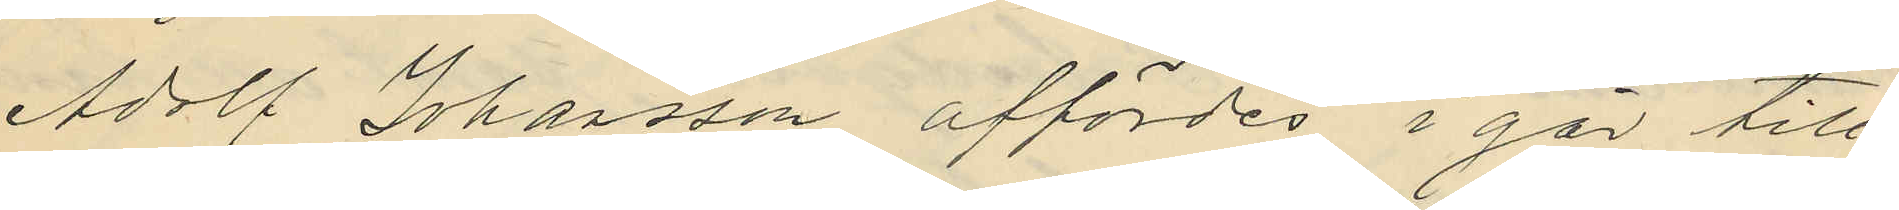Adolf Johansson affördes i går till
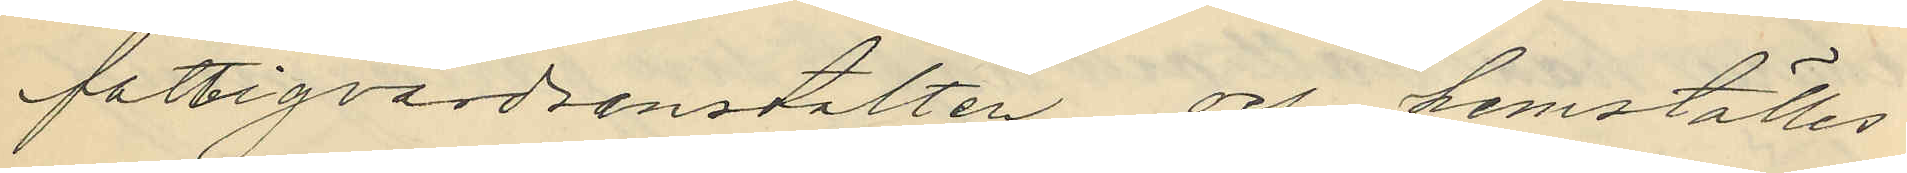fattigvårdsanstalten och hemställes
